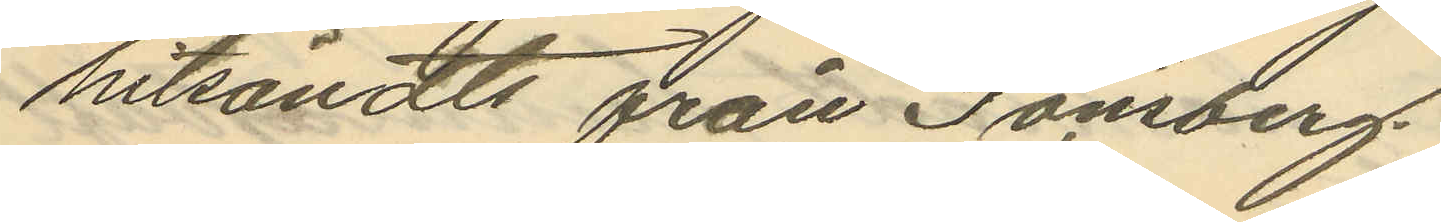hitsändts från Tönsberg
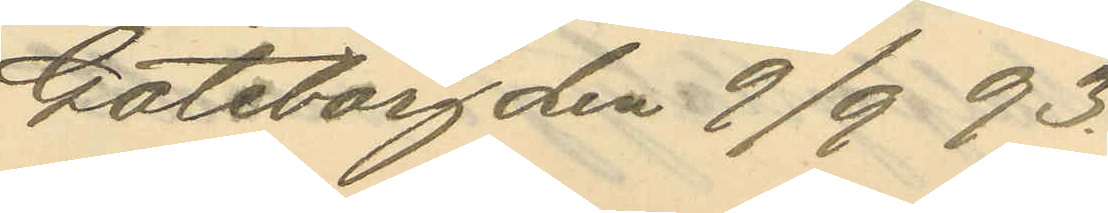Göteborg den 9/9 93.
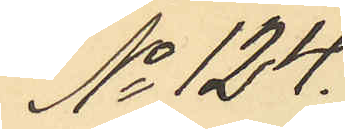No 124.
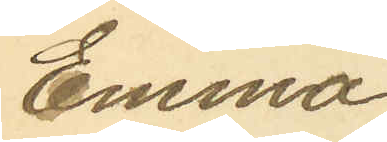Emma
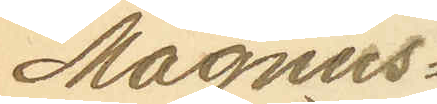Magnus¬
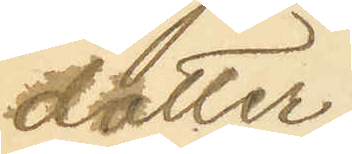dotter
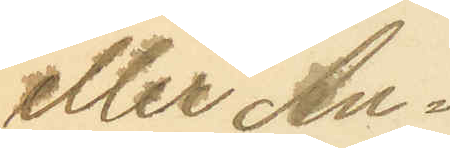eller An¬
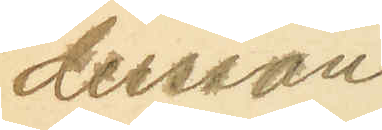dersson
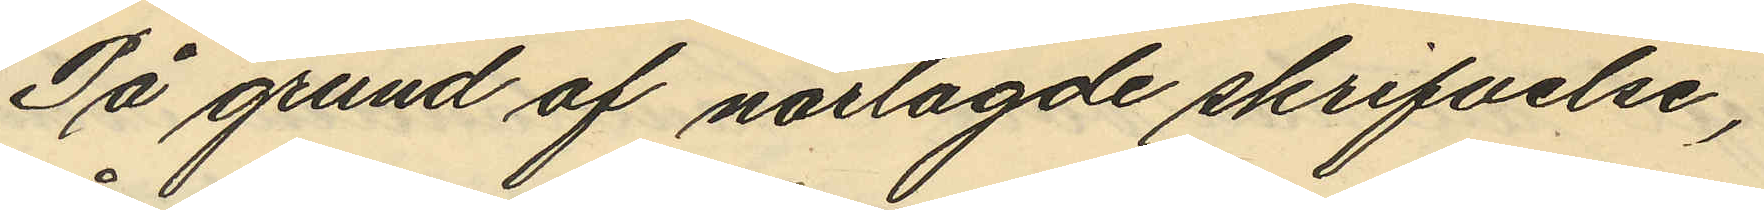På grund af närlagde skrifvelse,
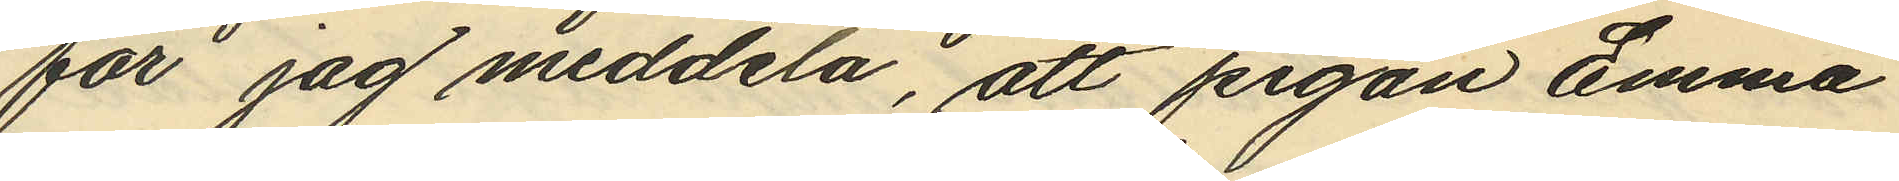för jag meddela, att pigan Emma
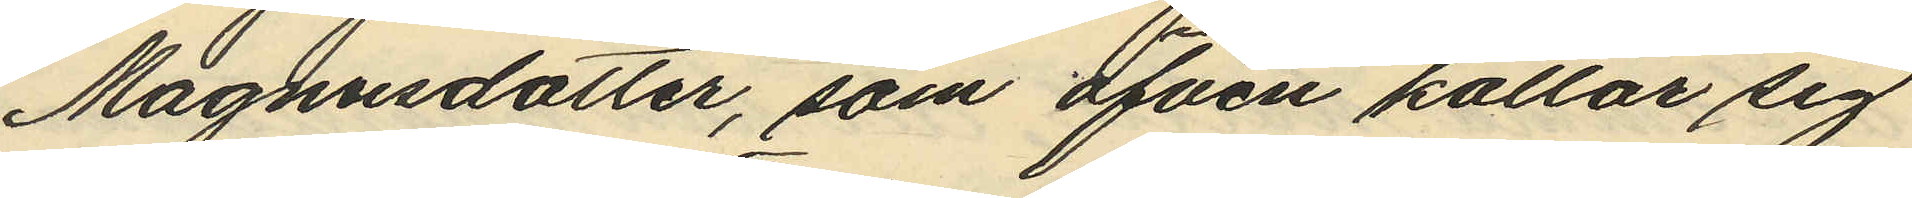Magnusdotter, som äfven kallar sig
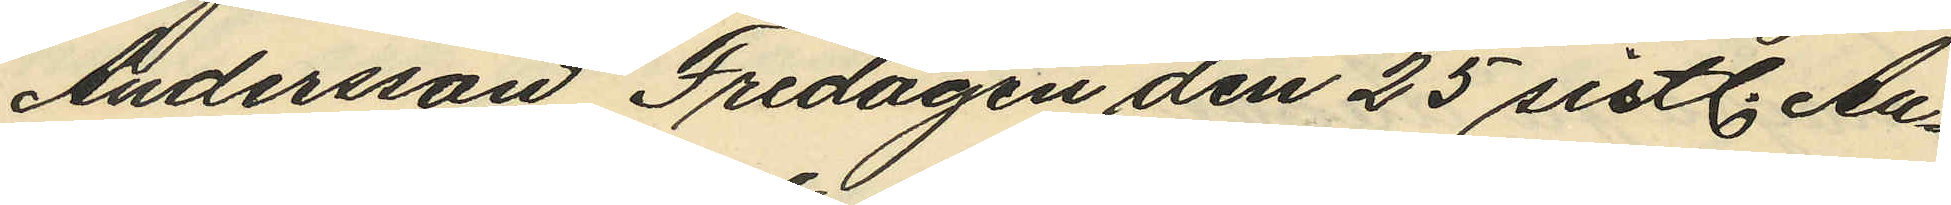Andersson Fredagen den 25 sistl. Au¬
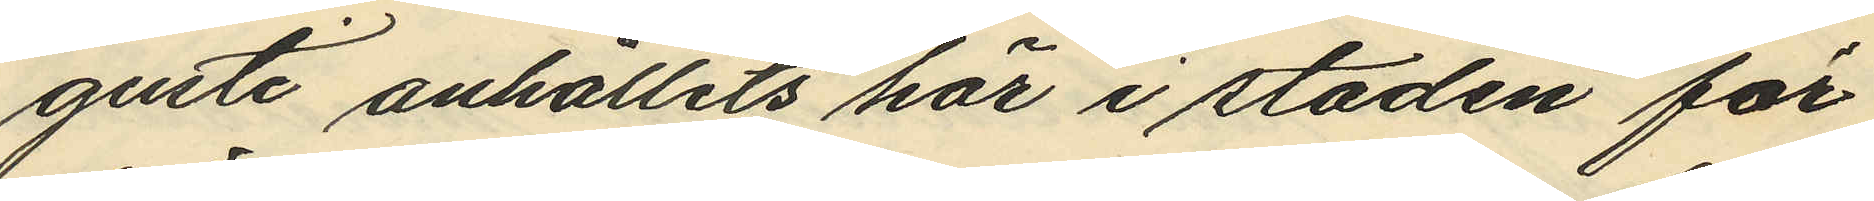gusti anhållits här i staden för
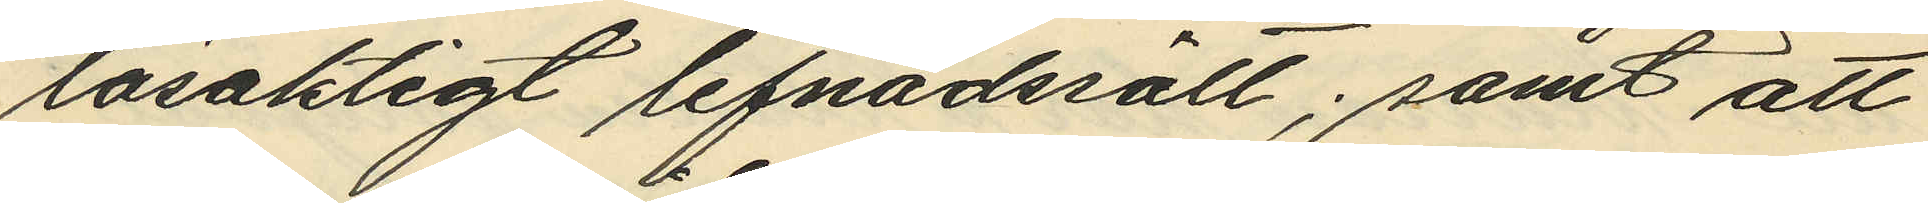lösaktigt lefnadsätt; samt att
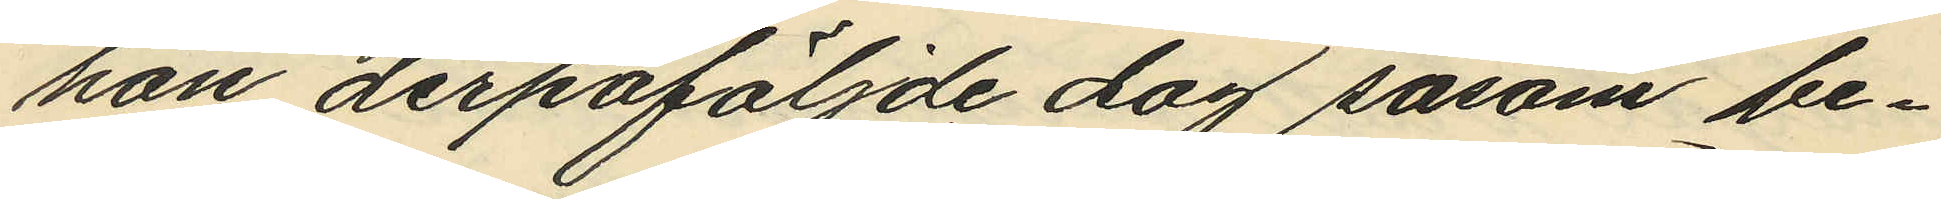hon derpåföljde dag såsom be¬
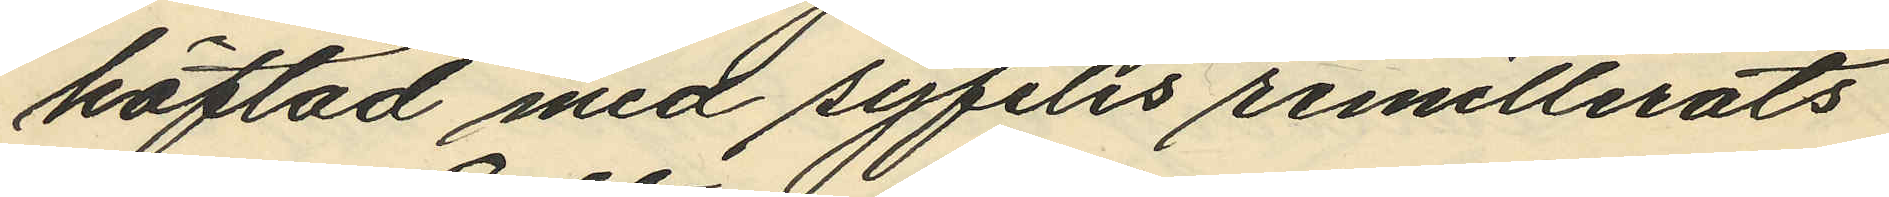häftad med syfilis remitterats
